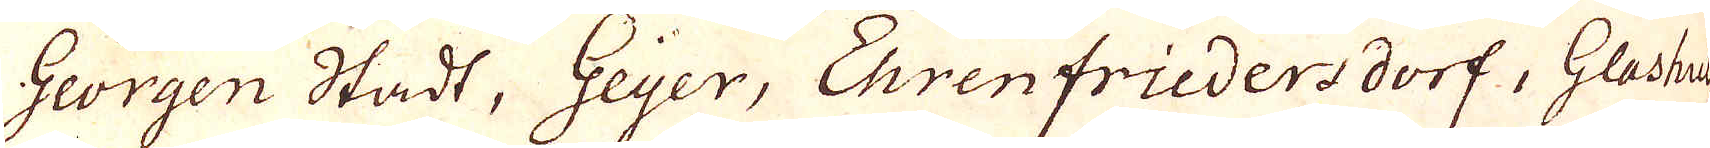Georgen Stadt, Geijer, Ehrenfrieders dorf, Glashus
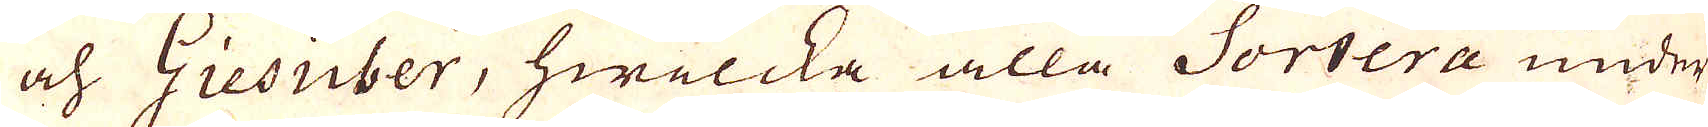och Giesuber, hwilcka alla Sortera under
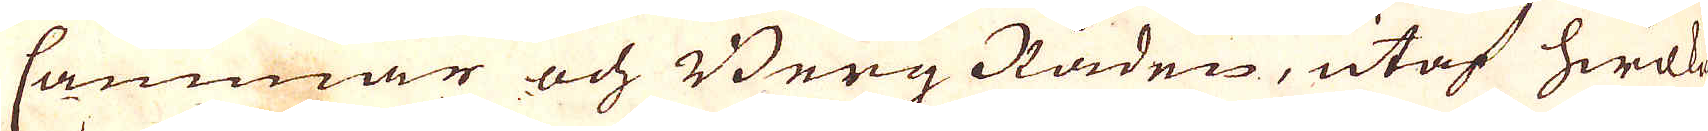Cammar och Berg Råden, utaf hwilka
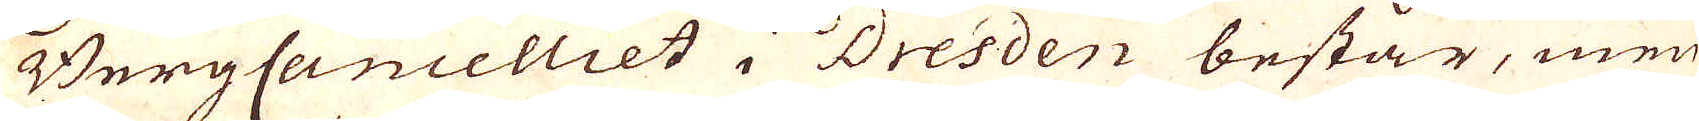BergCanceliet i Dresden består, men
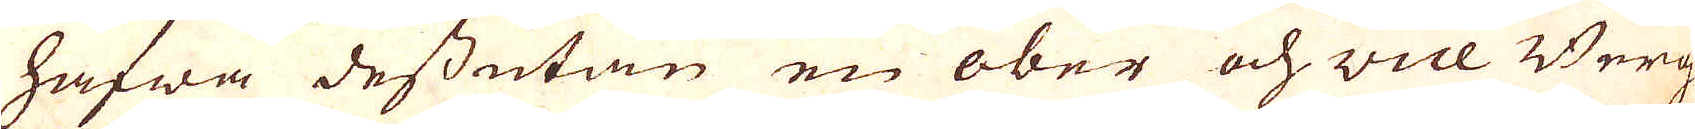hafwa dessutan en ober och vice Berg-
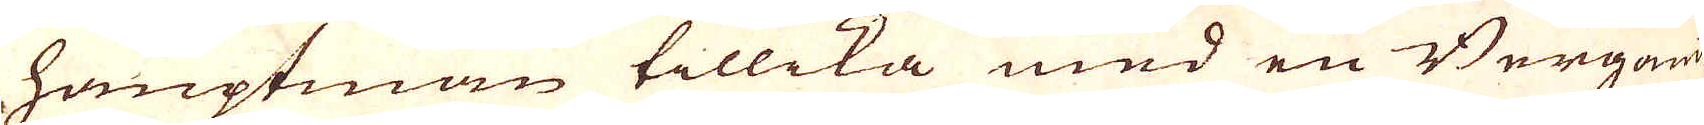hauptman tillika med en Bergamt-
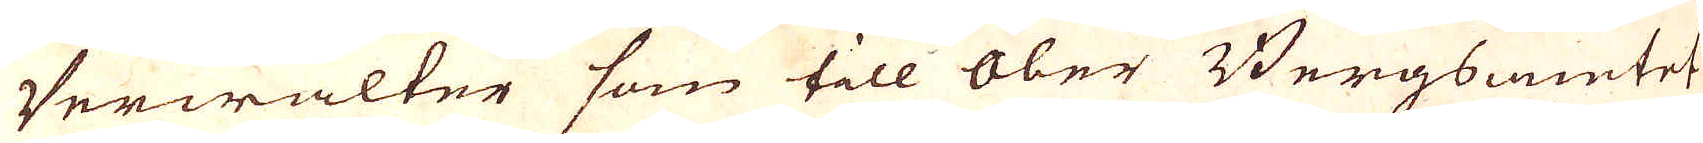Verwalter som till Ober Bergsamtet
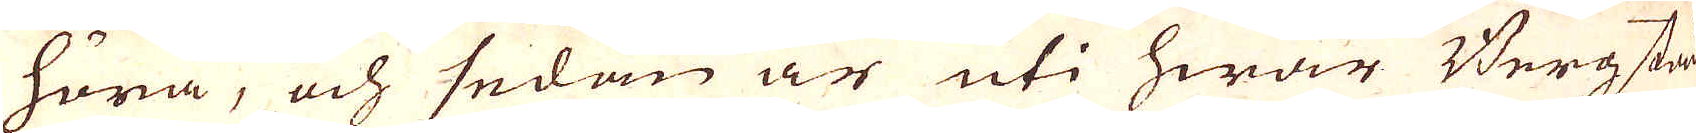höra, och sedan är uti hwar Bergstad
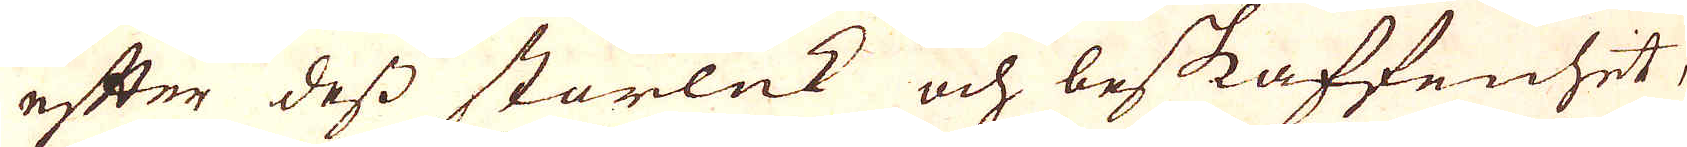efter dess storlek och beskaffenhet,
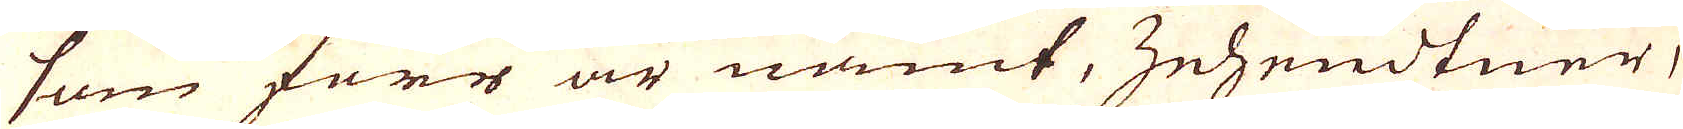som förr är nämt, Zehendtner,
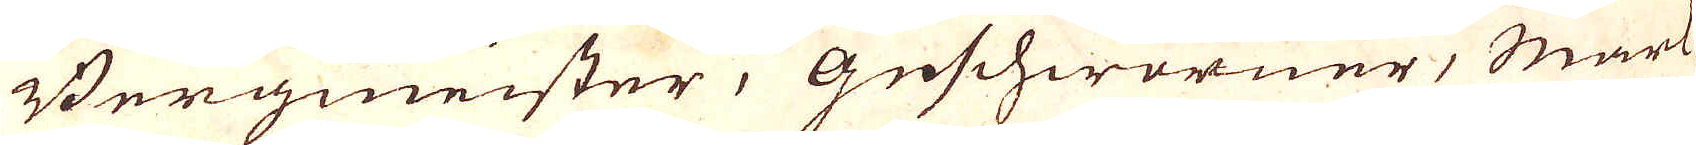Bergmeister, Geschworner, Mark-
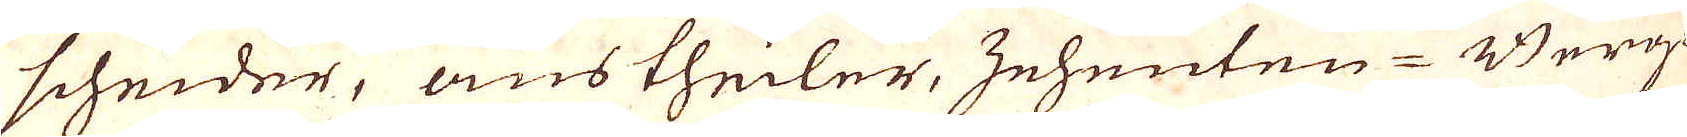scheider, ans theiler, Zehenten-Berg-
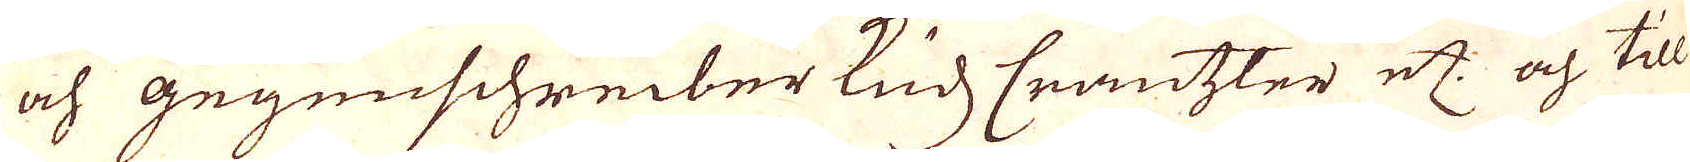och gegenschreiber Ruds Crantzler etc: och till
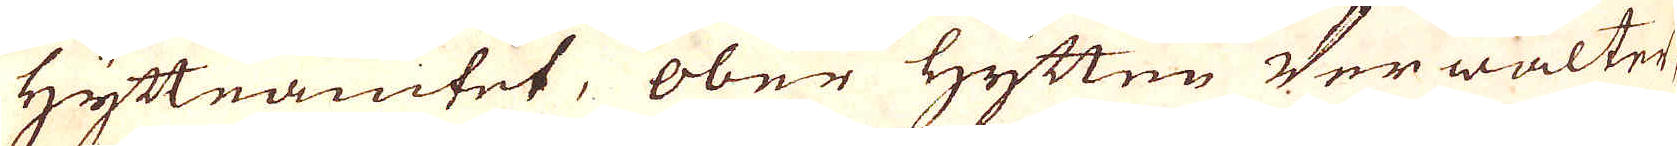Hytteamtet, Ober Hytten Verwalter,
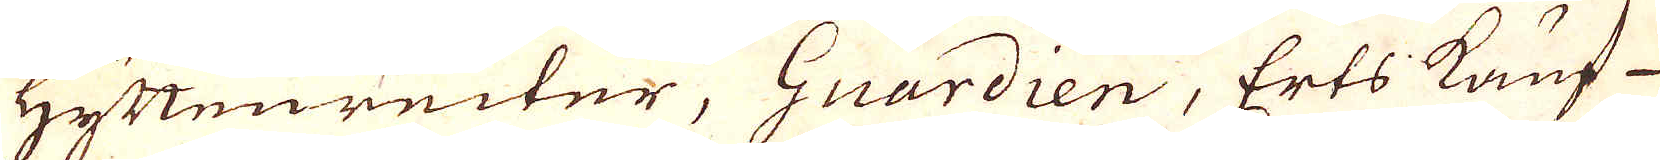Hyttenreiter, Guardien, Erts kauf-
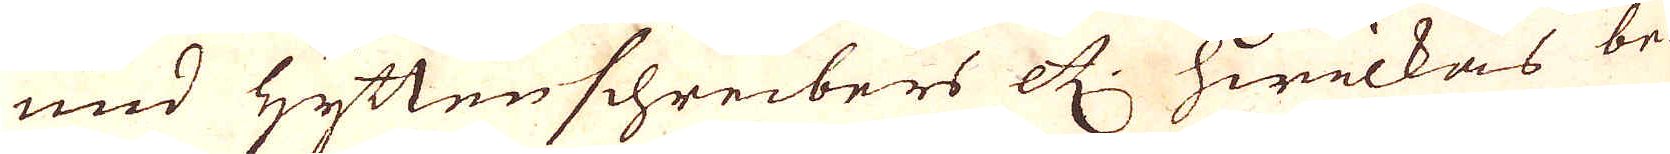und Hyttenschreibers etc. hwilkas be-
